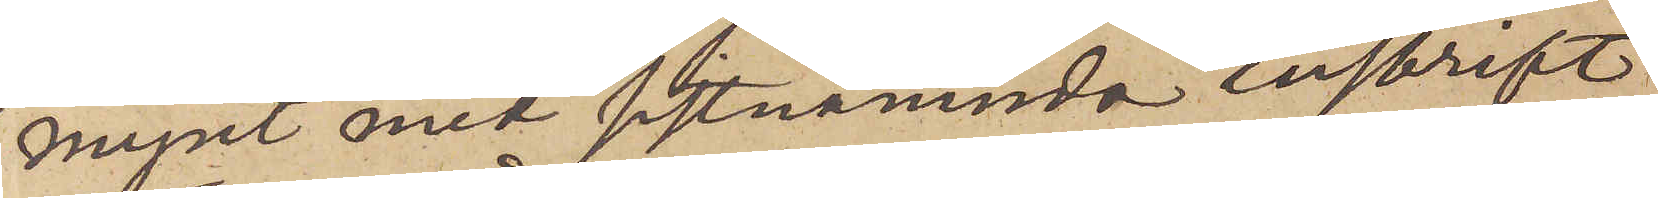mynt med sistnämnda inskrift
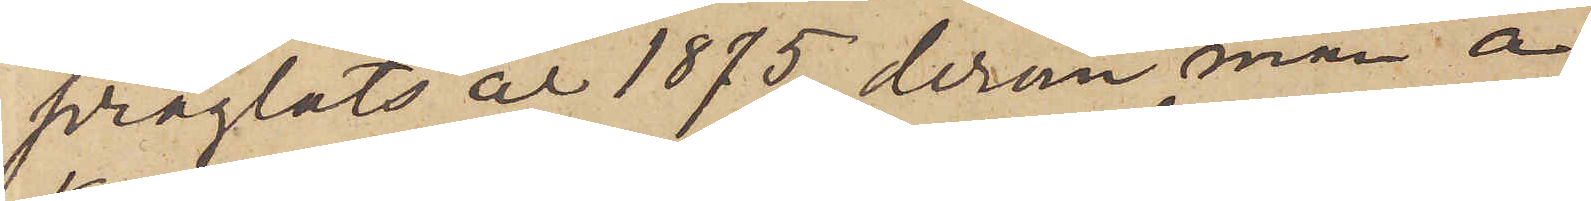präglats år 1875, derom man å
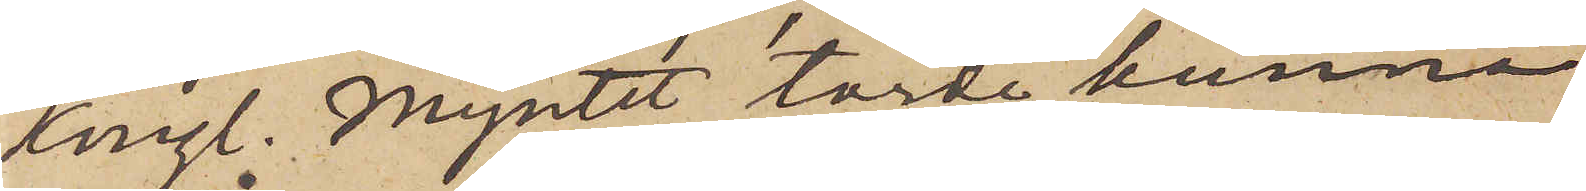Kungl. Myntet torde kunna
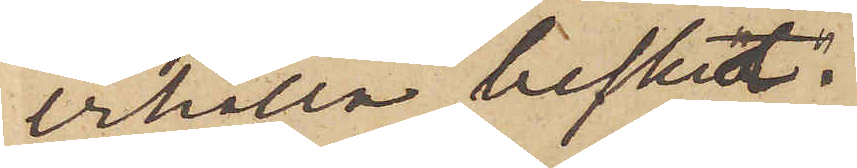erhålla besked.
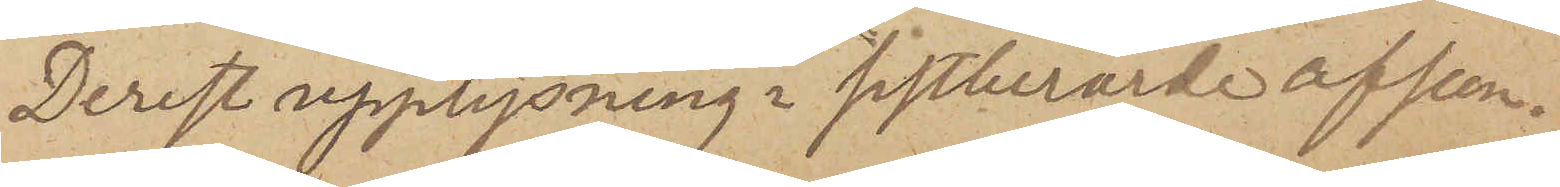Derest upplysning i sistberörde afseen¬
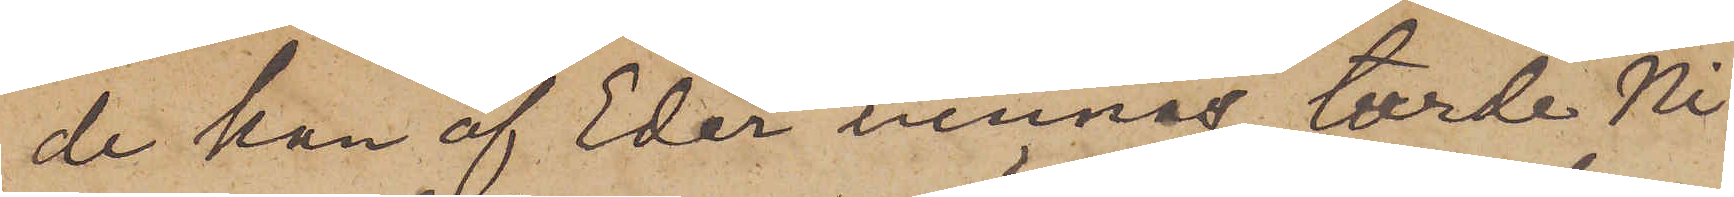de kan af Eder vinnas, torde Ni
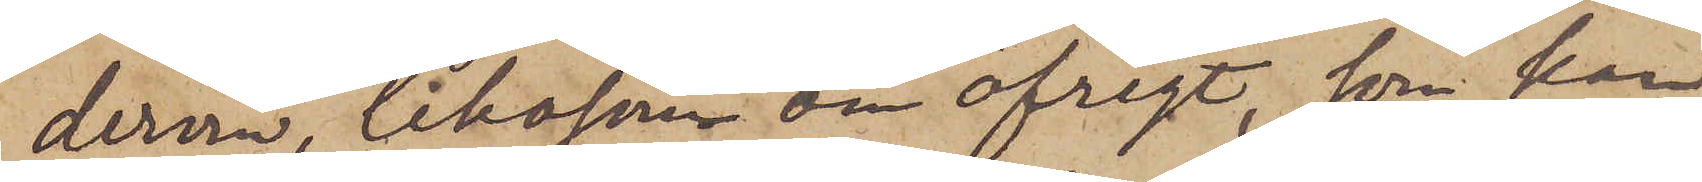derom, liksom om öfrigt, som kan
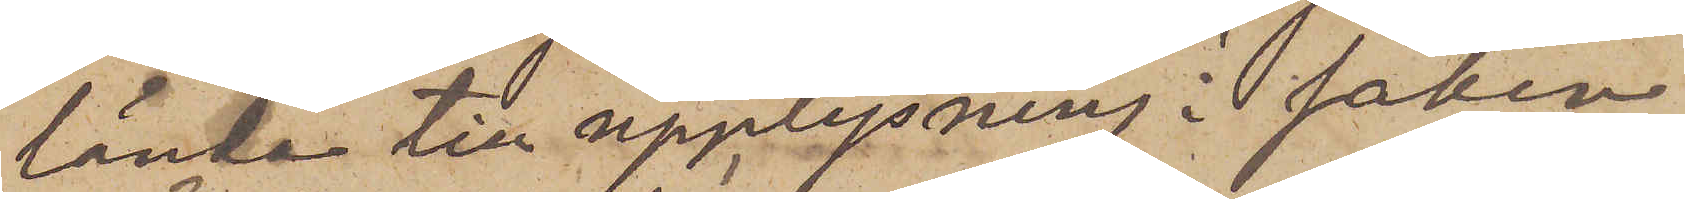lända till upplysning i saken
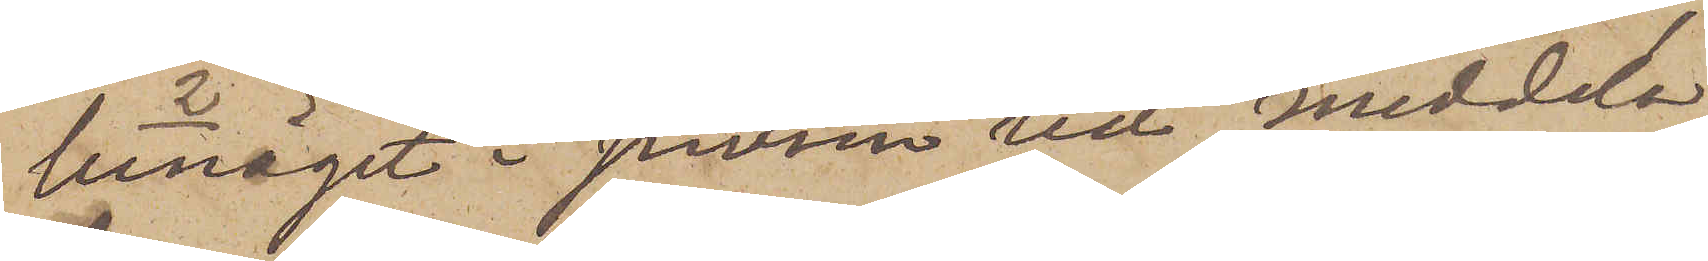benäget i sinom tid meddela
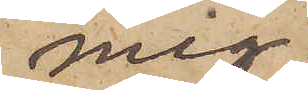mig
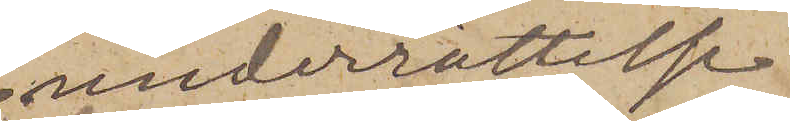underrättelse.
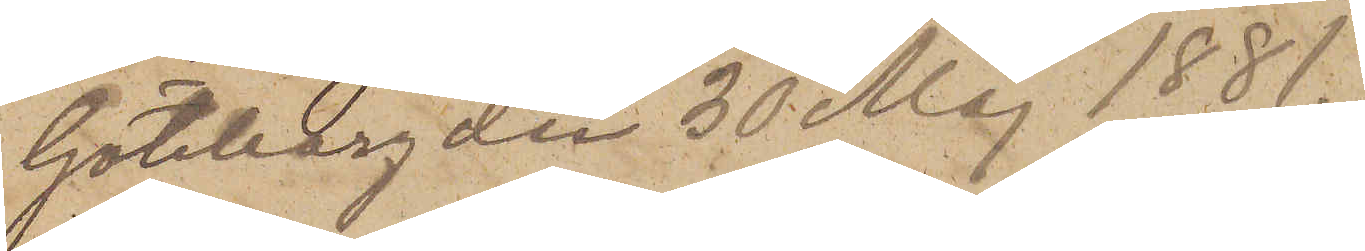Göteborg den 30 Maj 1881.
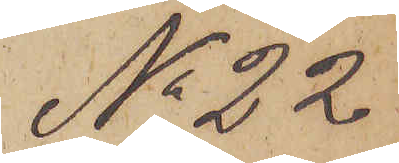No 22
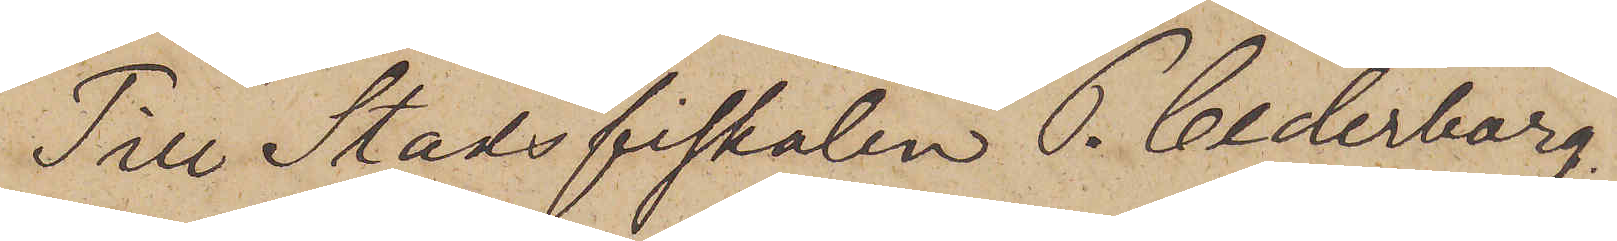Till Stadsfiskalen P. Cederborg.
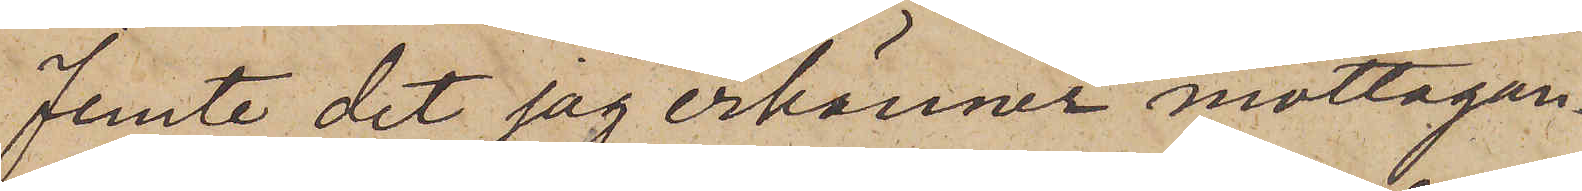Jemte det jag erkänner mottagan¬
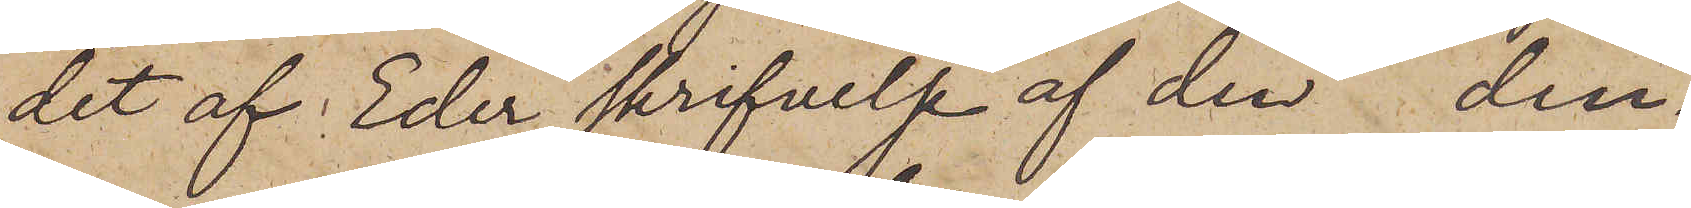det af Eder skrifvelse af den  den¬
